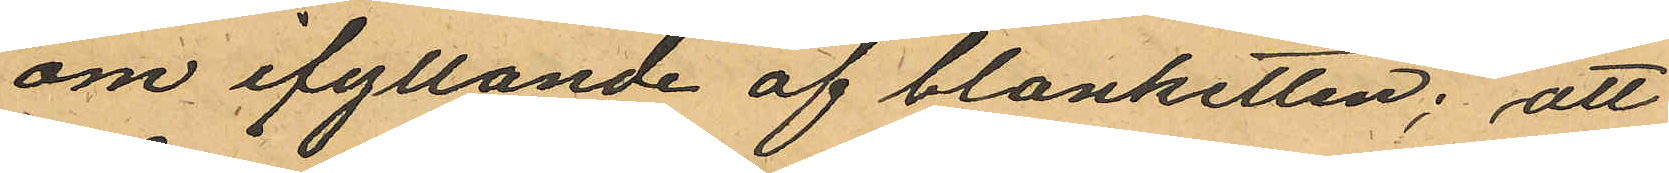om ifyllande af blanketten; att
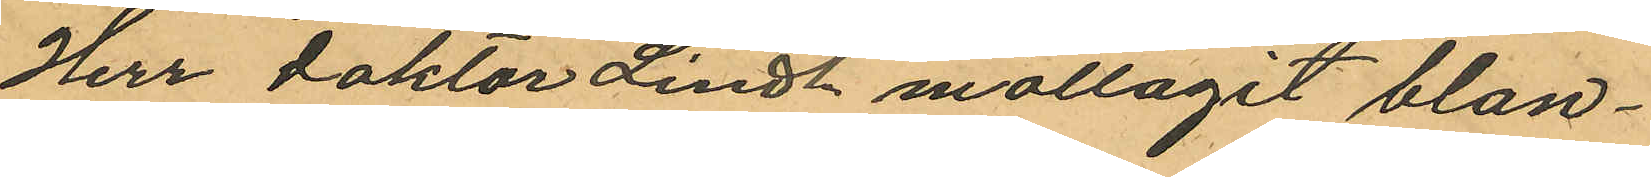Herr Doktor Lindh mottagit blan¬
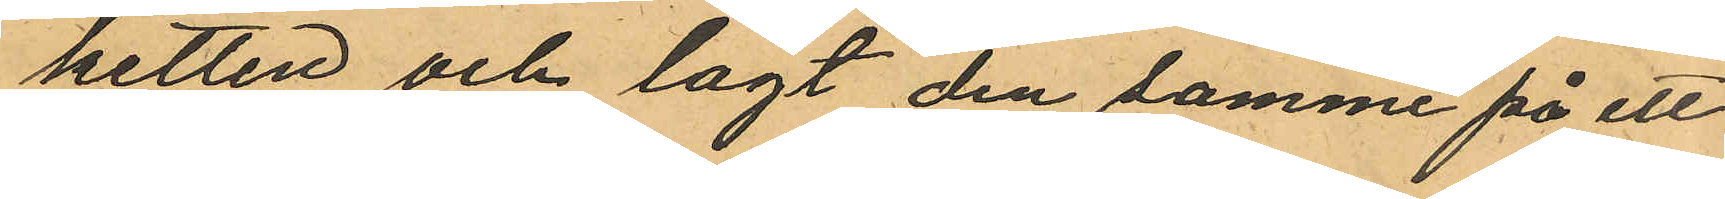ketten och lagt den samme på ett
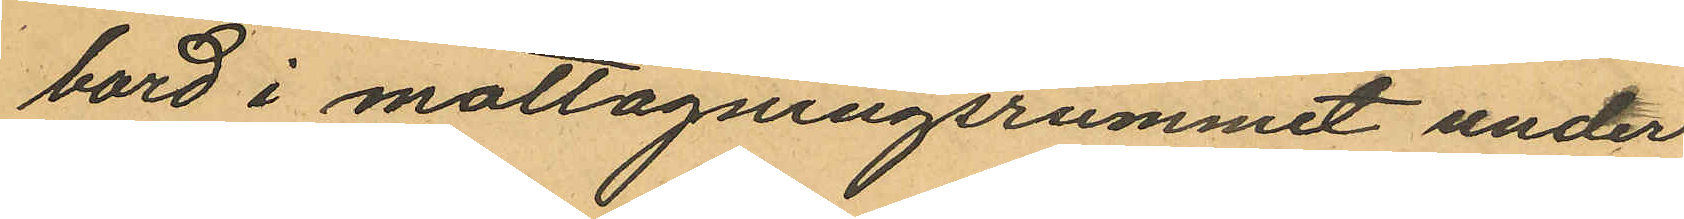bord i mottagningsrummet under
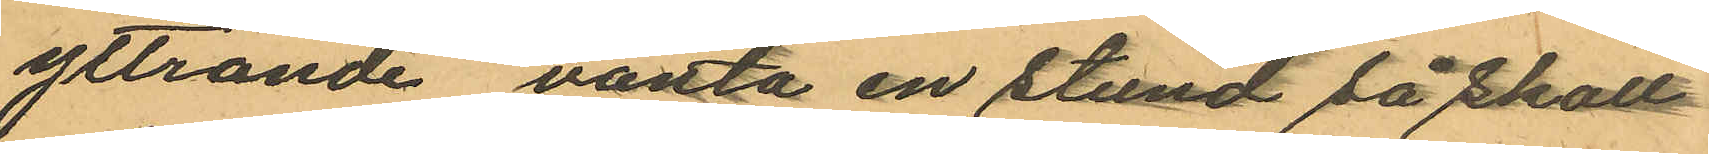yttrande "vänta en stund så skall
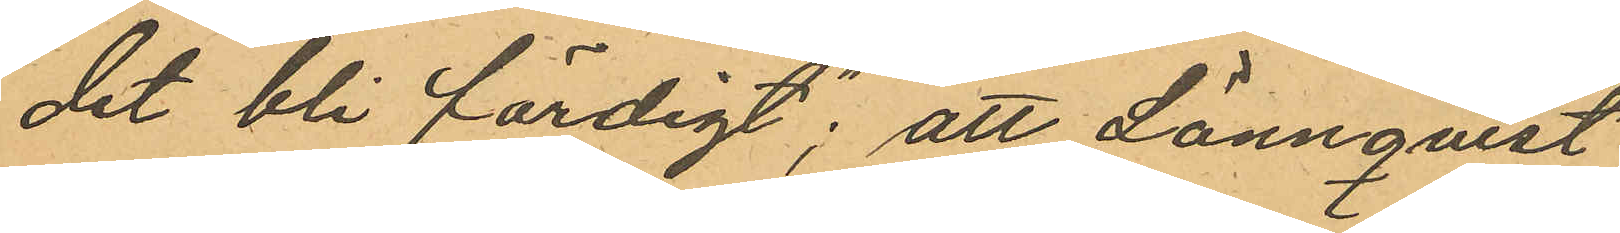det bli färdigt"; att Lönnqvist
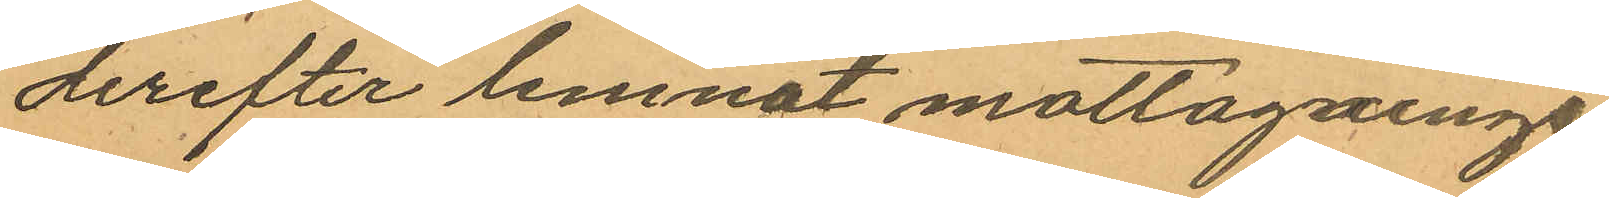derefter lemnat mottagnings
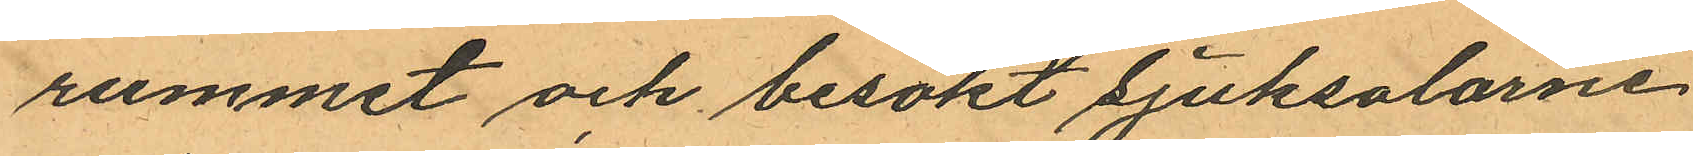rummet och besökt sjuksalarne
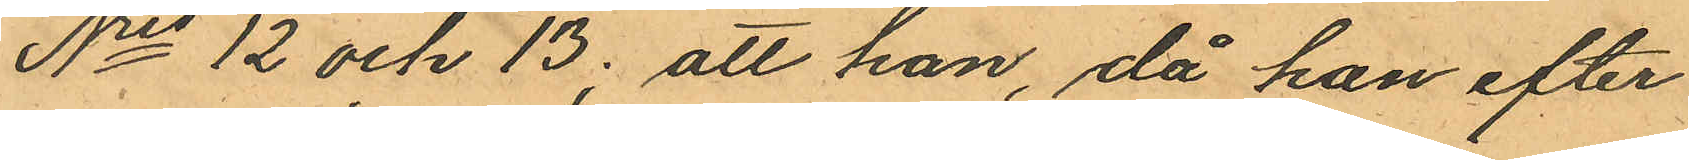No 12 och 13; att han, då han efter
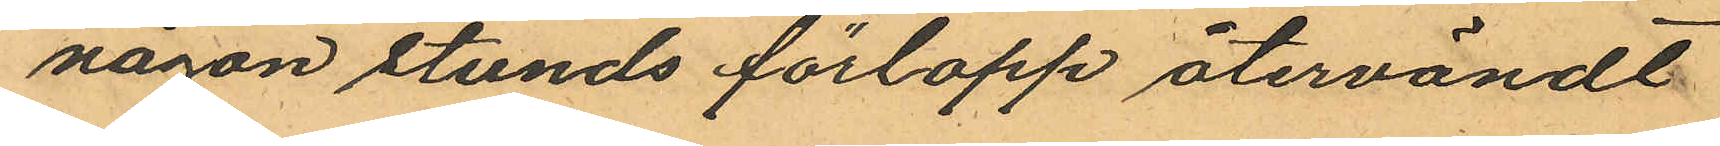någon stunds förlopp återvändt
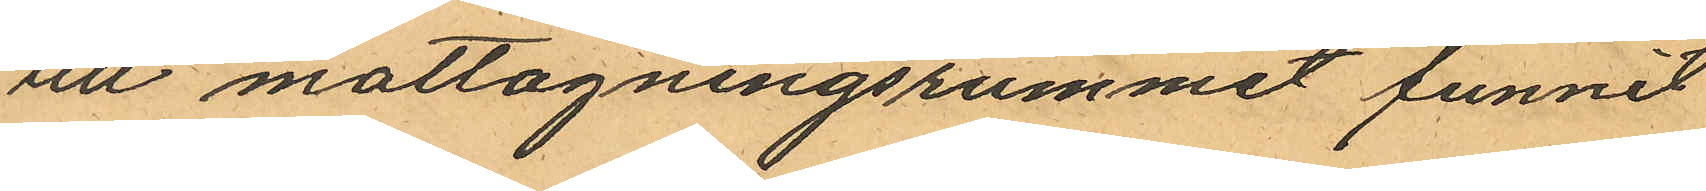till mottagningsrummet funnit
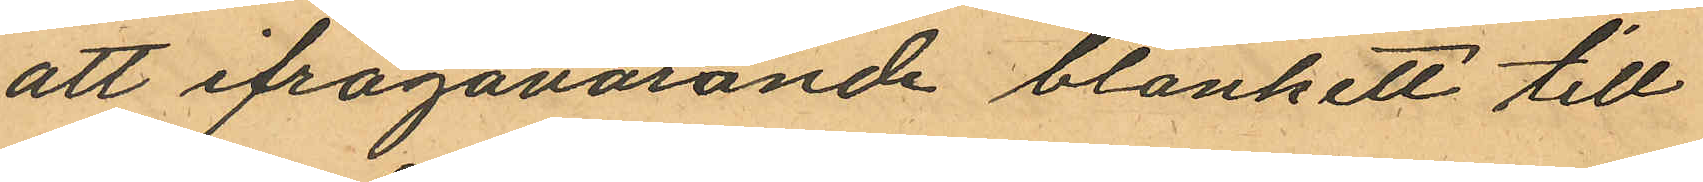att ifrågavarande blankett till
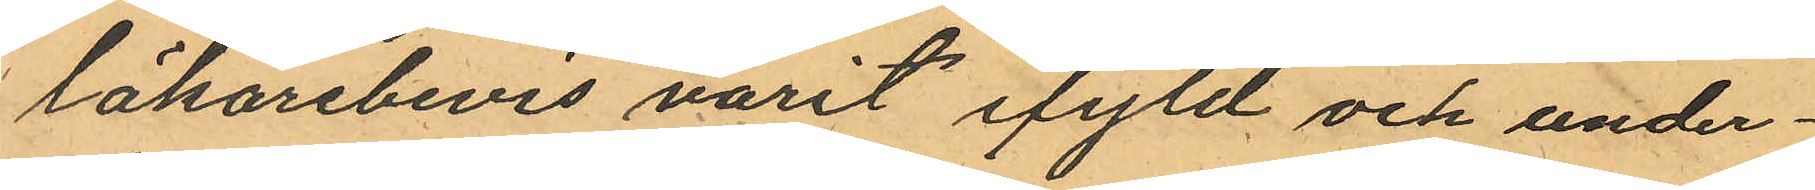läkarebevis varit ifyld och under¬
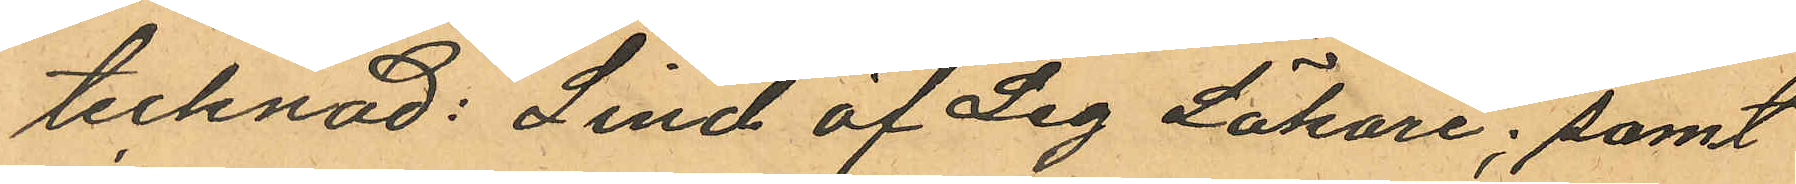tecknad: "Lind öf Leg Läkare"; samt
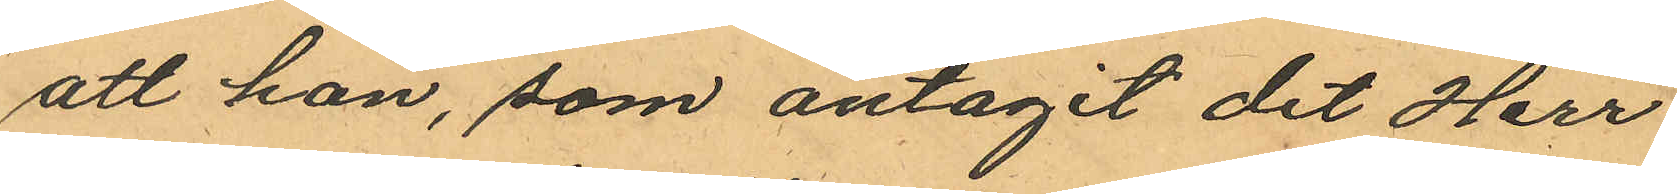att han, som antagit det Herr
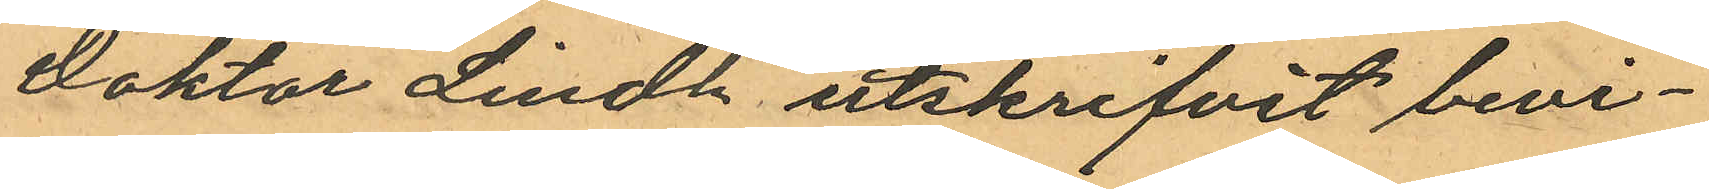Doktor Lindh utskrifvit bevi¬
